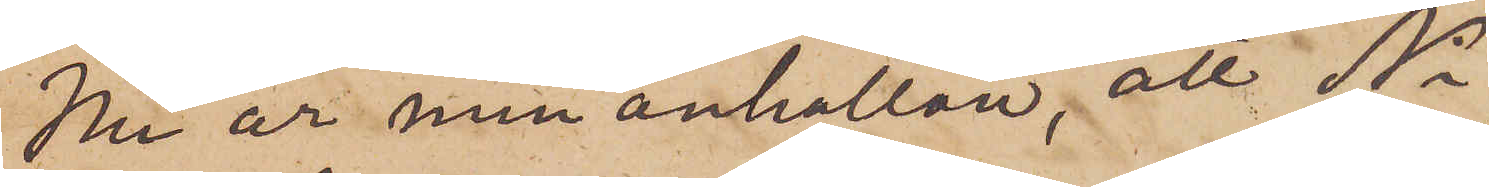Nu är min anhållan, att Ni,
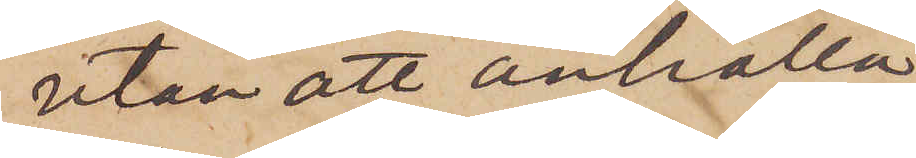utan att anhålla
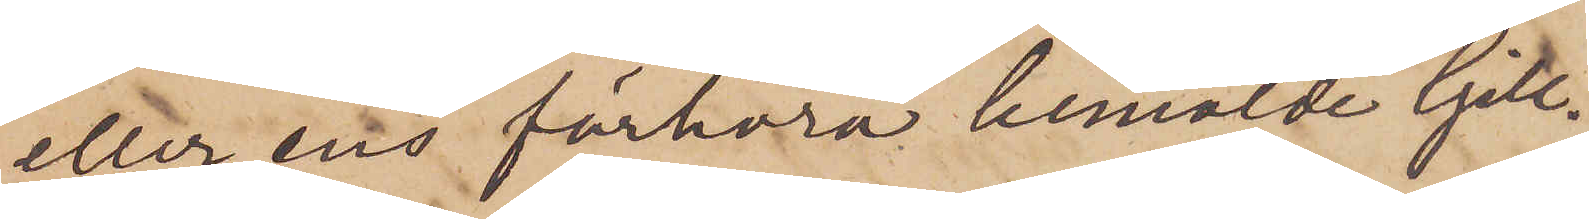eller ens förhöra bemälde Gill¬
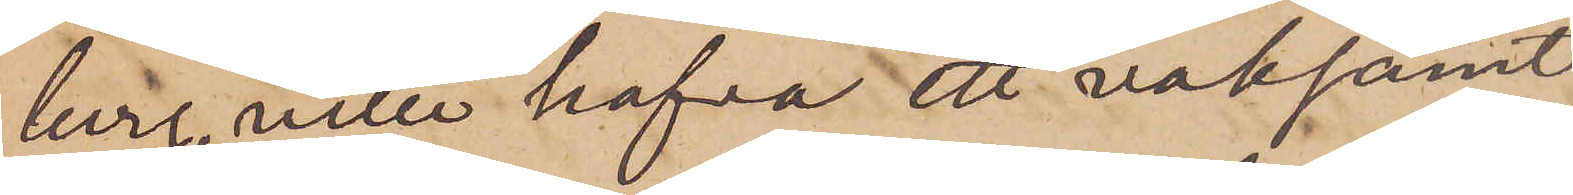berg, ville hafva ett vaksamt
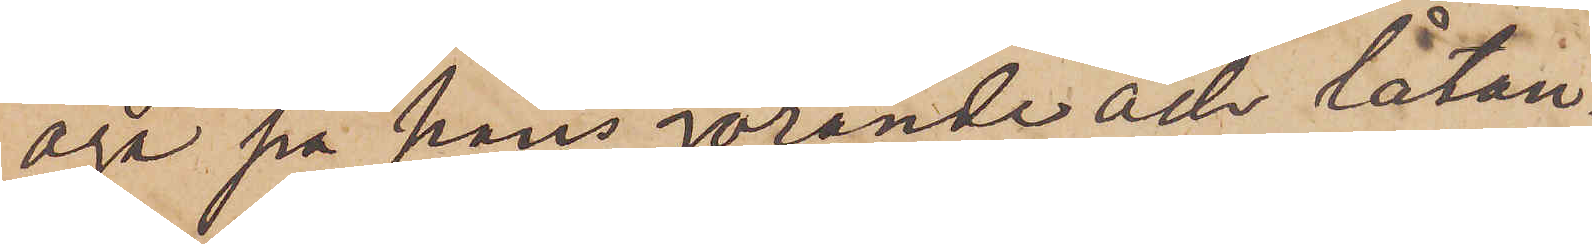öga på hans görande och låtan¬
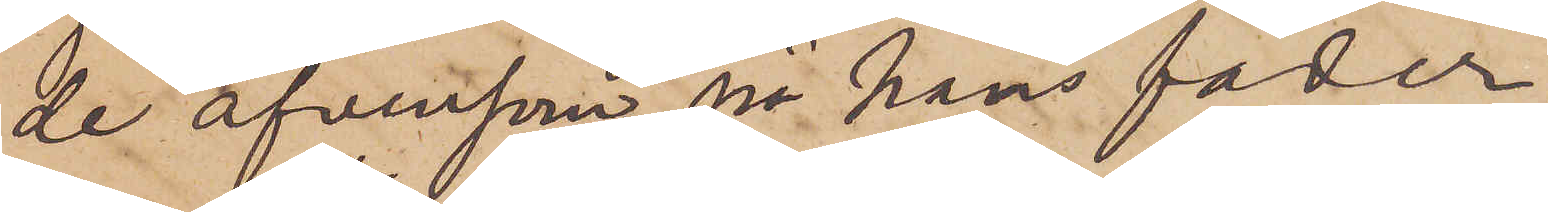de äfvensom på hans fader.
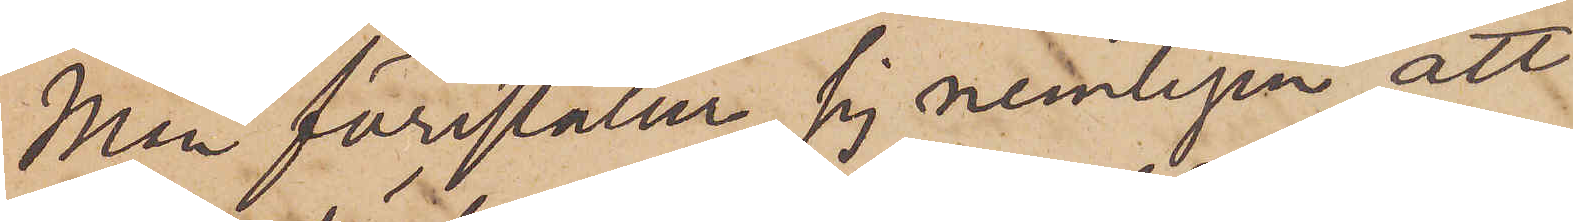Man föreställer sig nemligen att
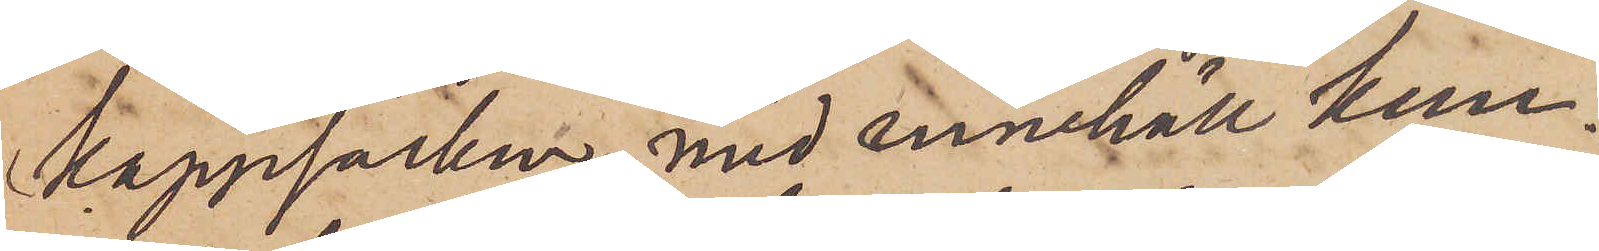kappsäcken med innehåll kun¬
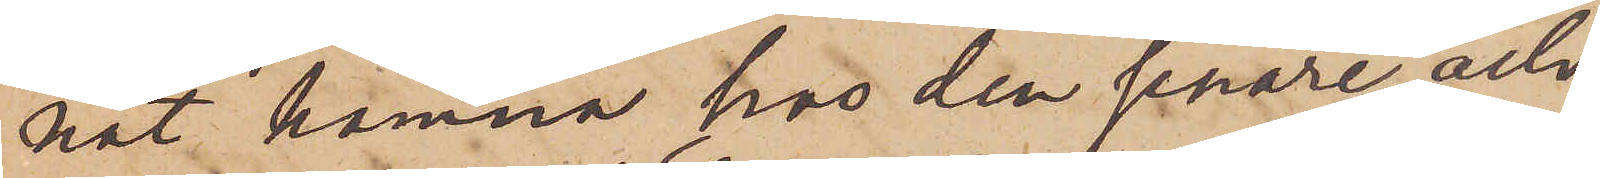nat hamna hos den senare och
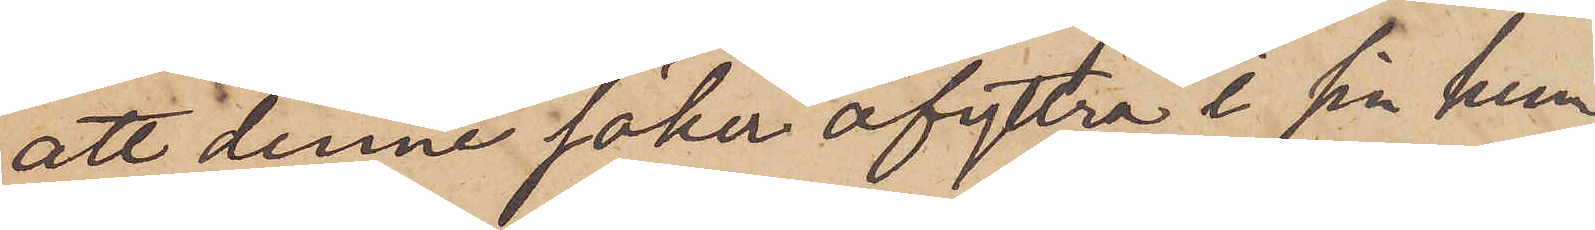att denne söker afyttra i sin hem¬
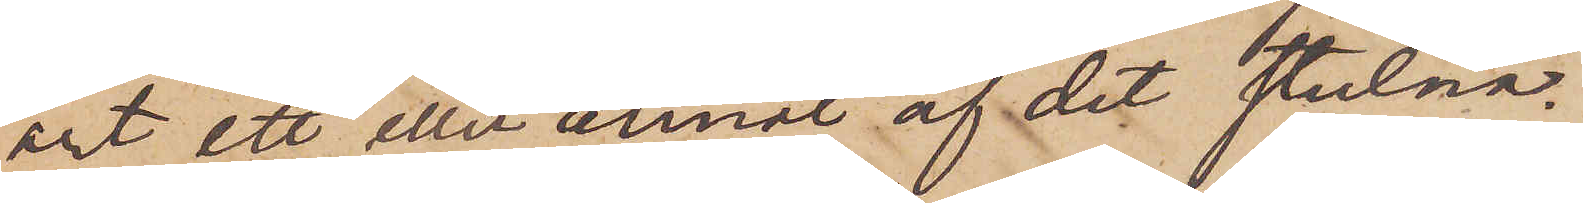ort ett eller annat af det stulna.
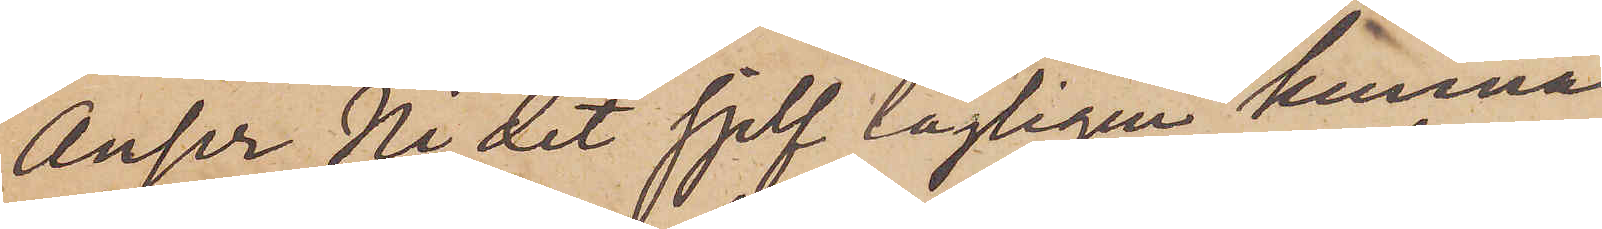Anser Ni det sjelf lagligen kunna
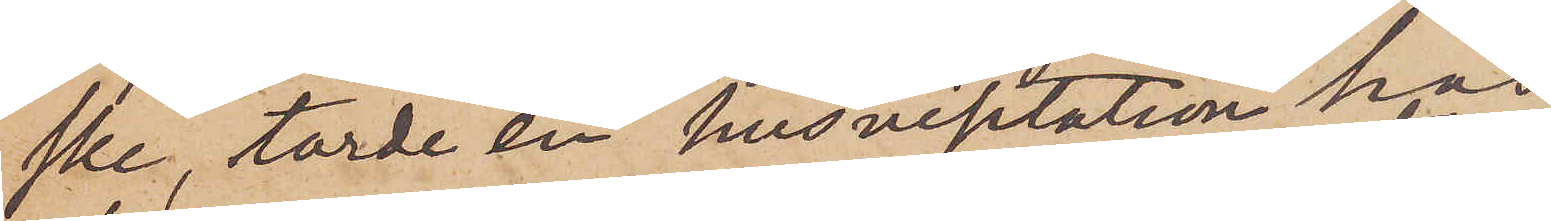ske, torde en husvisitation hos
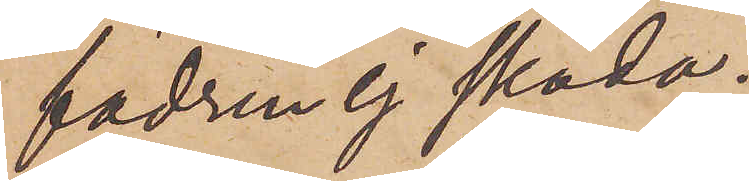fadren ej skada.
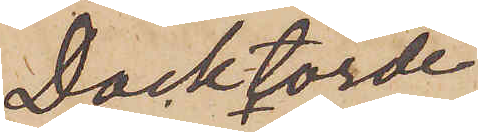Dock torde
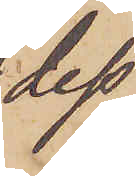dess¬
